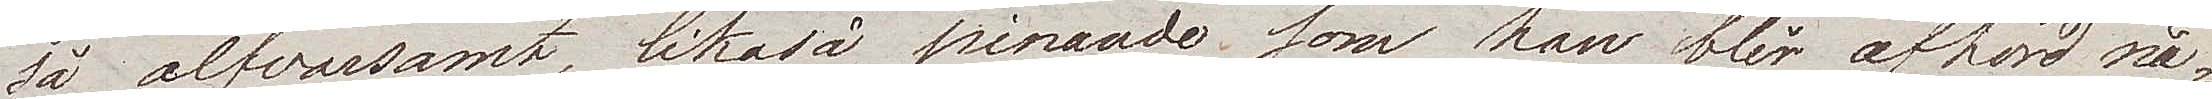så alfvasamt, likaså pinande som han blir afhörd nå¬
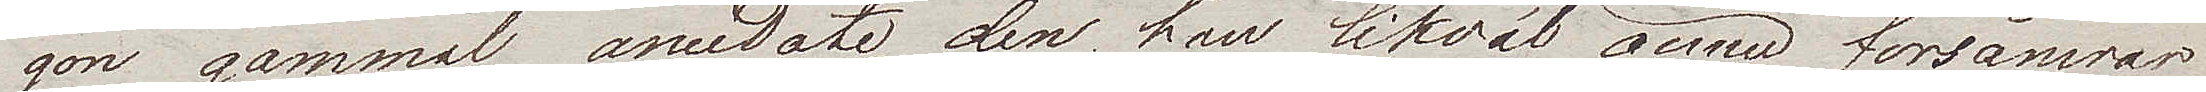gon gammal anecdote, den han likväl ännu försämrar
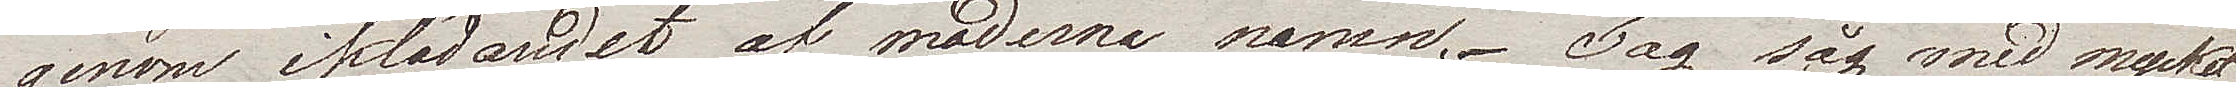genom iklädandet af moderna namn. Jag såg med mycket
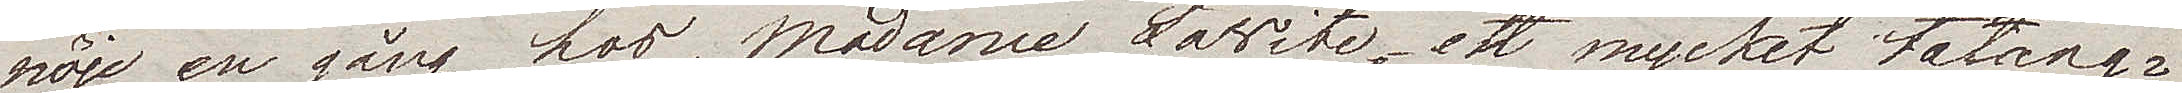nöje en gång hos Madame Lavite, ett mycket talang¬
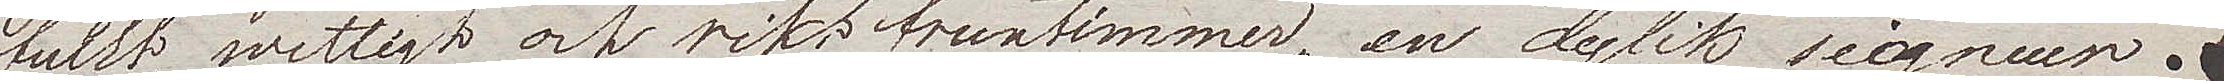fullt, wettigt och rikt fruntimmer, en dylik seigneur
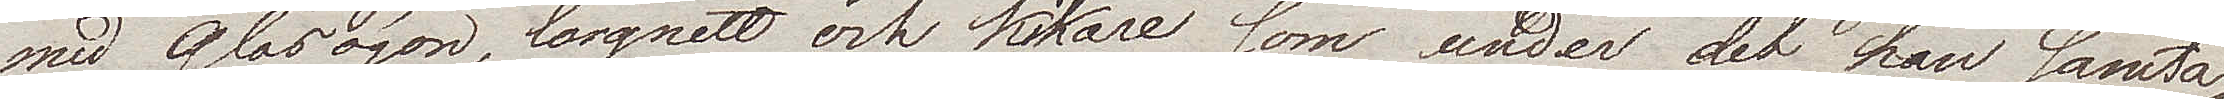med glasögon, lorgnett och kikare som under det han samta¬
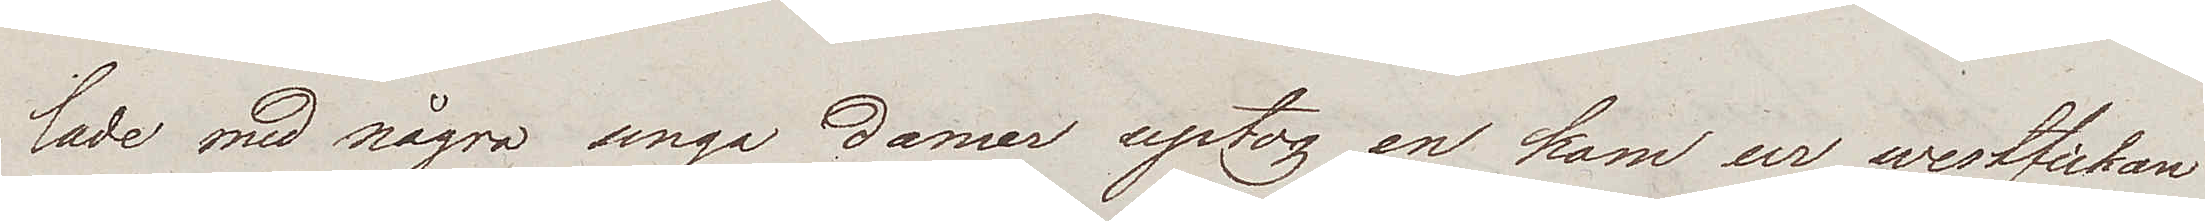lade med några unga damer uptog en kam ur westfickan
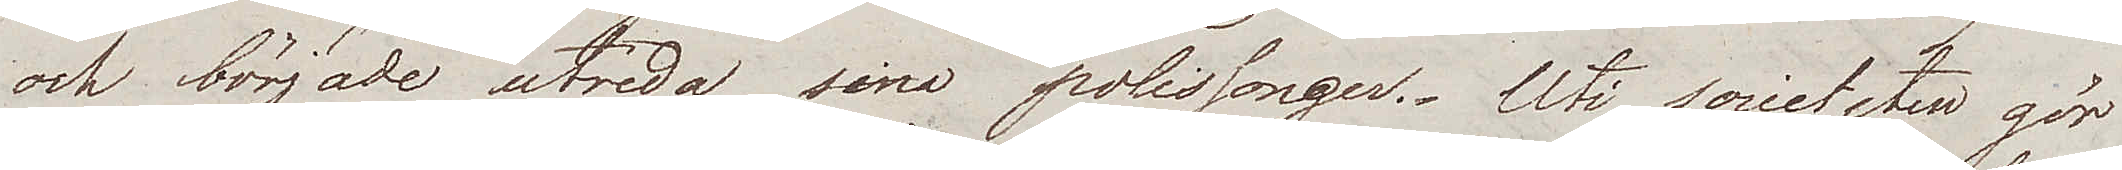och började utreda sina polissonger. Uti societeten gör
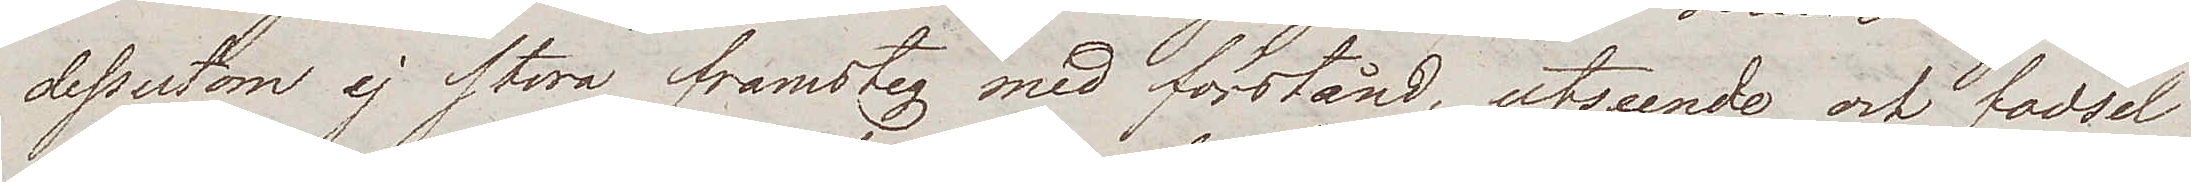dessutom ej stora framsteg med förstånd, utseende och fodsel
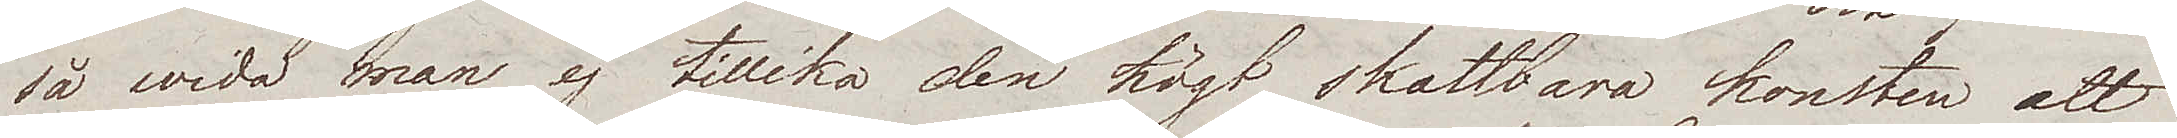så wida man ej tillika den högt skattbara konsten att
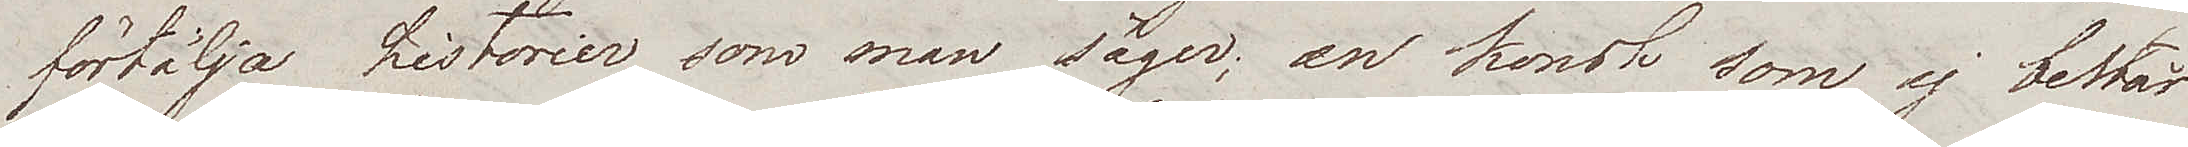förtälja historier, som man säger; en konst som ej består
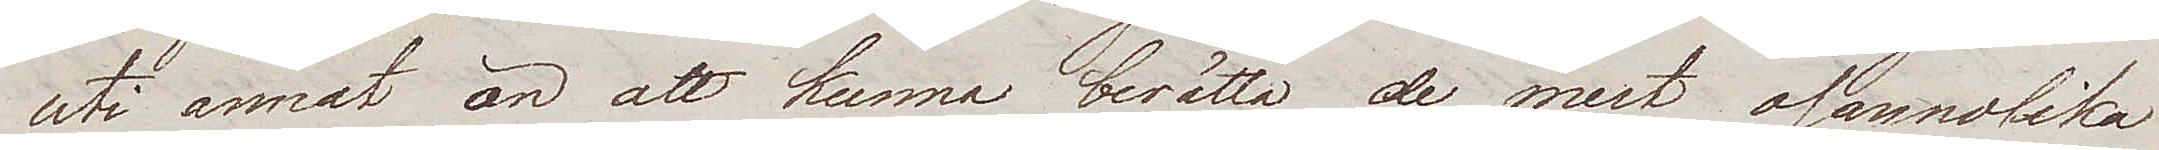uti annat än att kunna berätta de mest osannolika
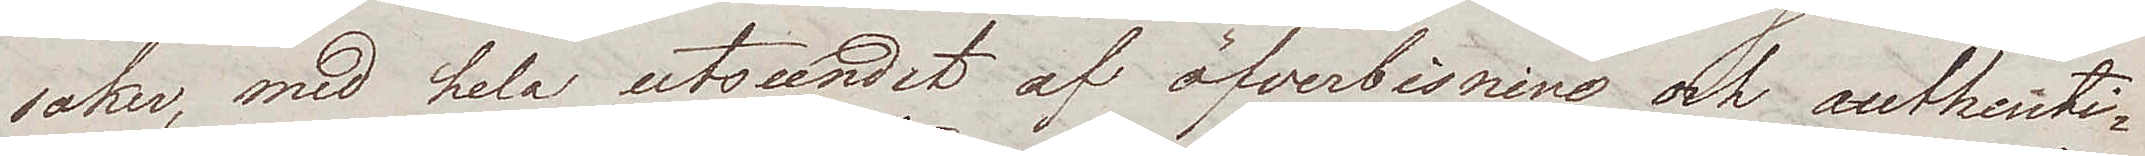saker, med hela utseendet af öfverbisning och authenti¬
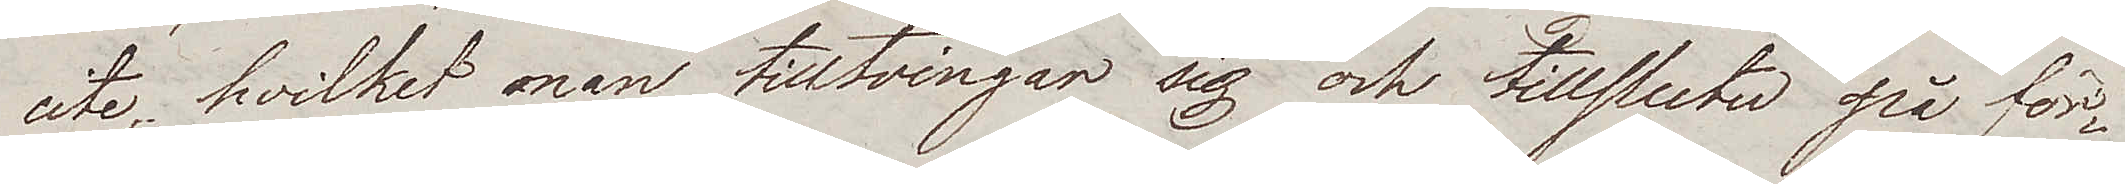cite, hvilket man tilltvingar sig och tillsluter på för¬
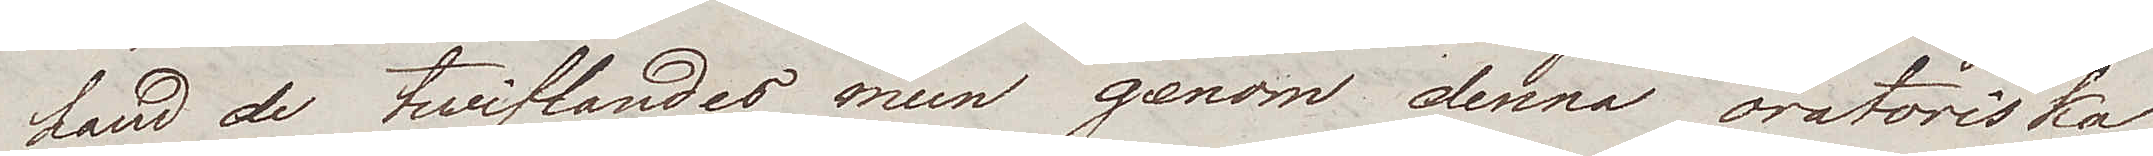hand de twiflandes mun genom denna oratoriska
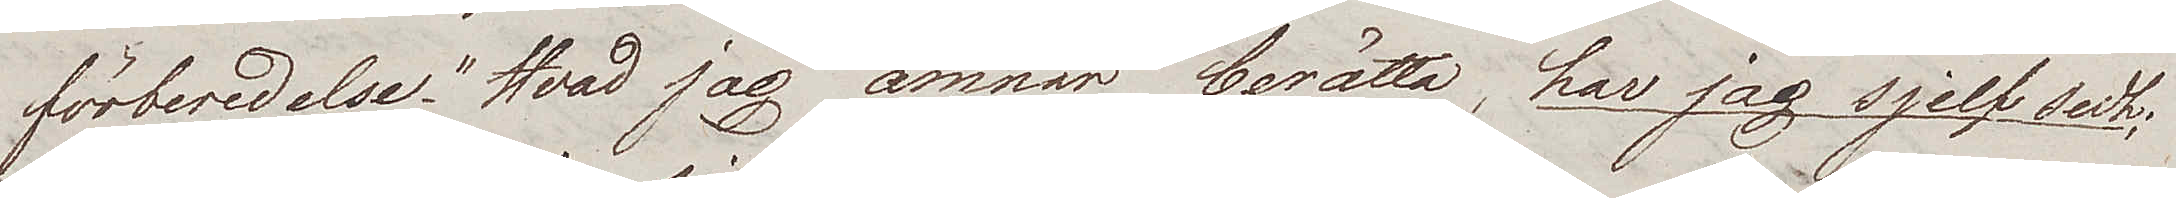förberedelse. "Hvad jag ämnar berätta, har jag sjelf sedt;
